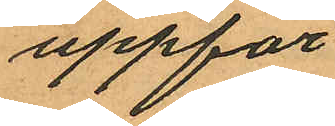uppför
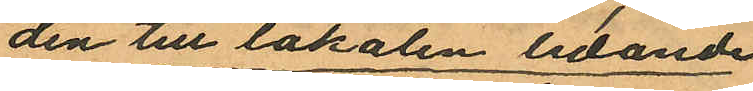den till lokalen ledande
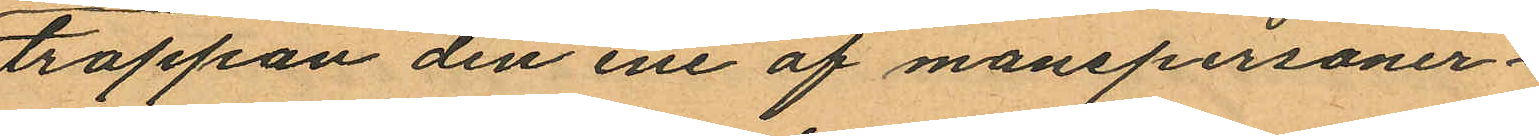trappan den ene af manspersoner¬
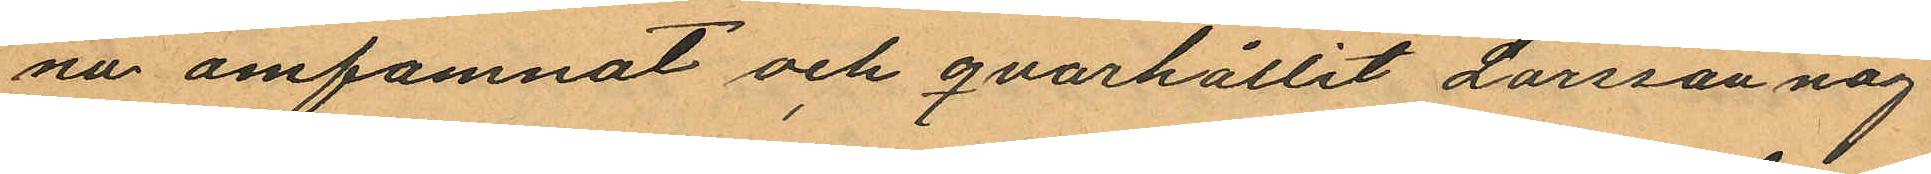na omfamnat och qvarhållit Larsson någ¬
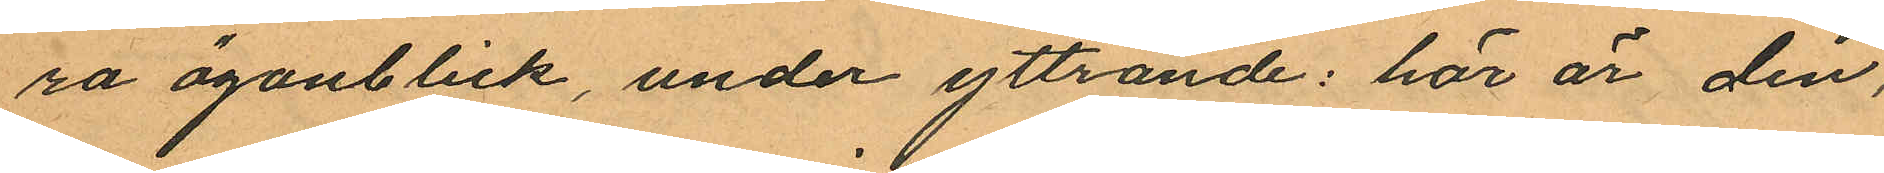ra ögonblick, under yttrande: här är den,
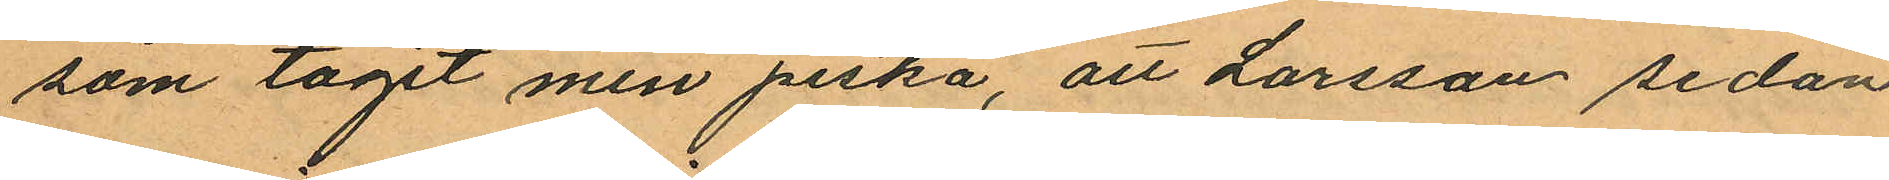som tagit min piska, att Larsson sedan
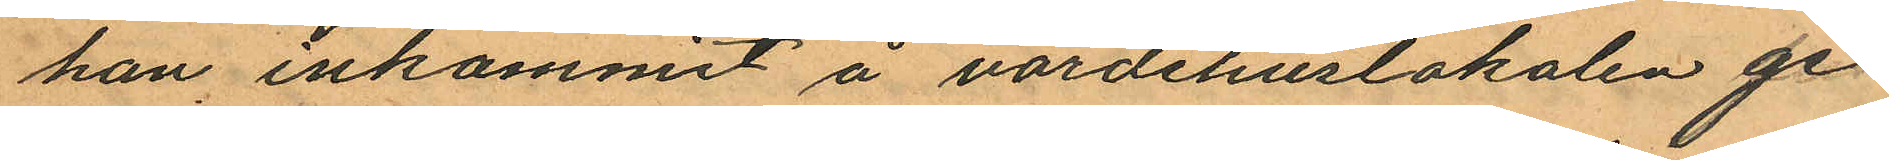han inkommit å värdshuslokalen ge¬
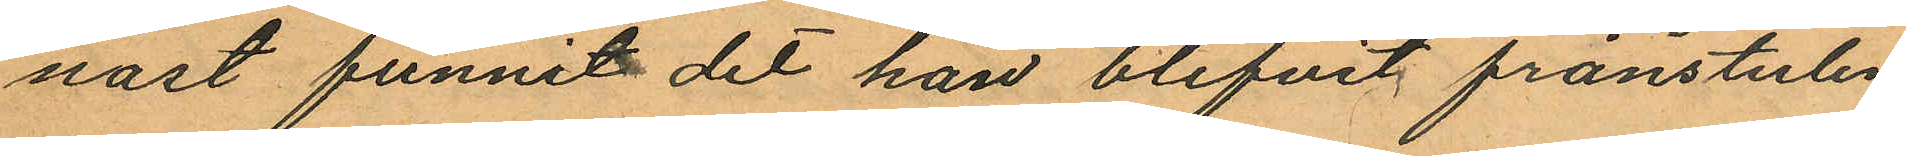nast funnit det han blifvit frånstulen
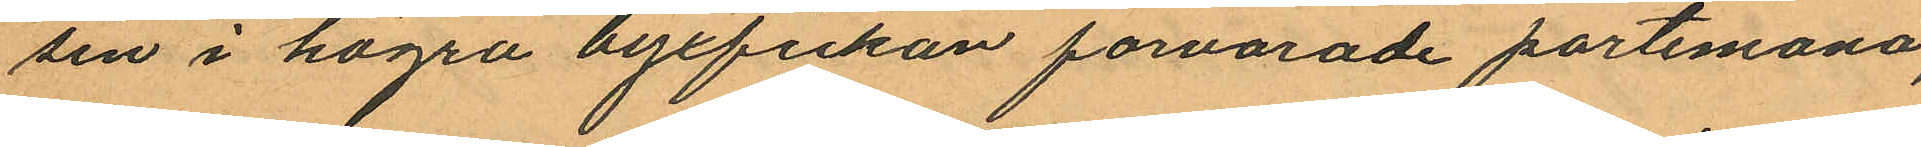sin i högra byxfikan förvarade portemonä,
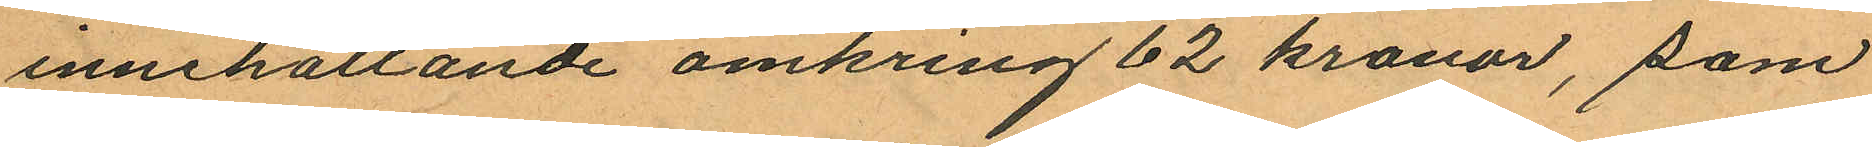innehållande omkring 62 kronor, som
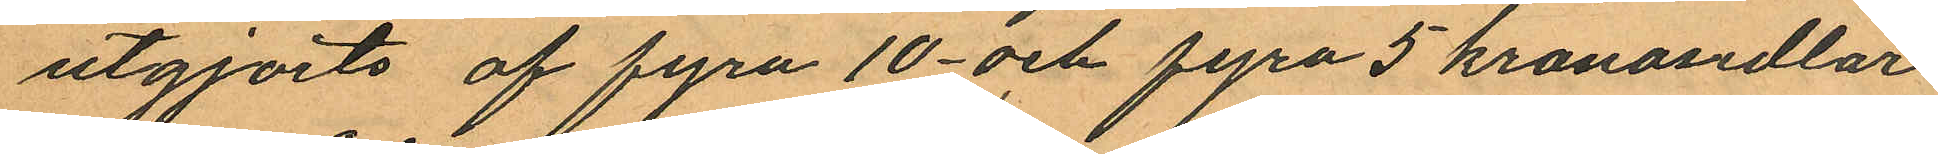utgjorts af fyra 10- och fyra 5 kronosedlar
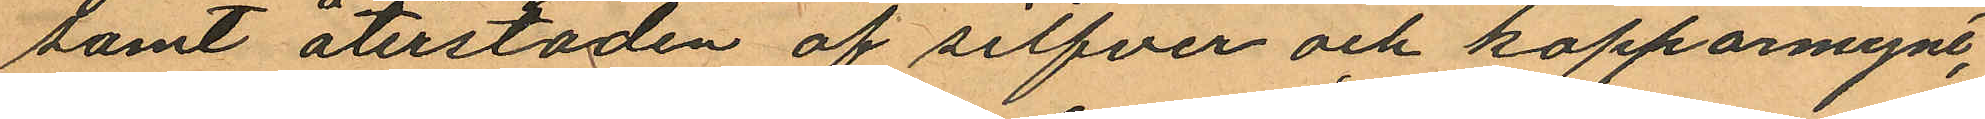samt återstoden af silfver och kopparmynt,
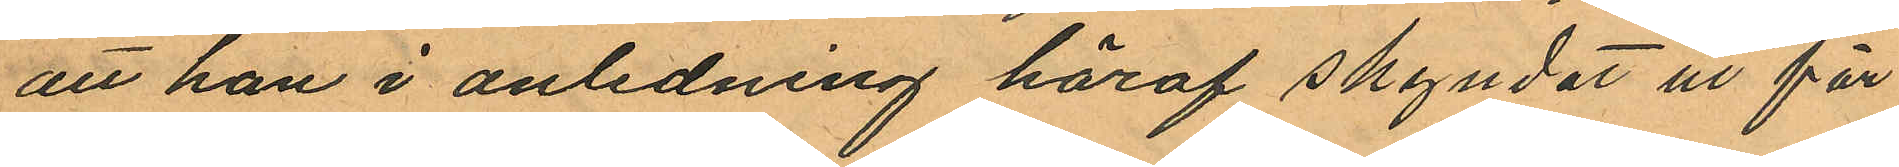att han i anledning häraf skyndat ut för
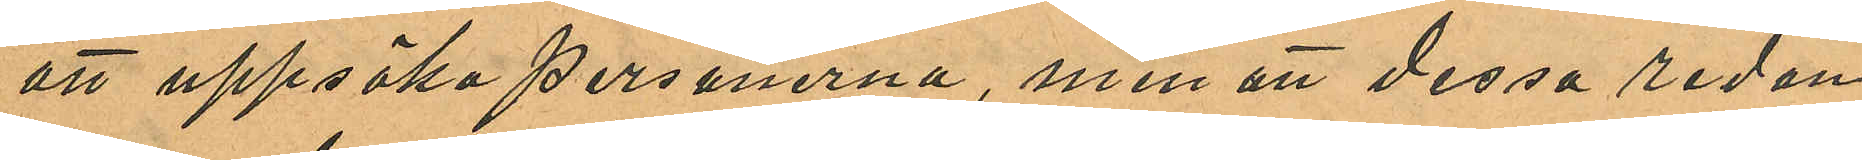att uppsöka personerna, men att dessa redan
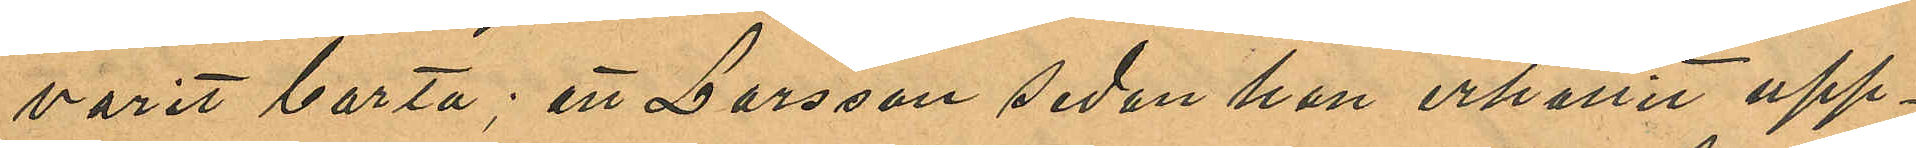varit borta; att Larsson sedan han erhållit upp¬
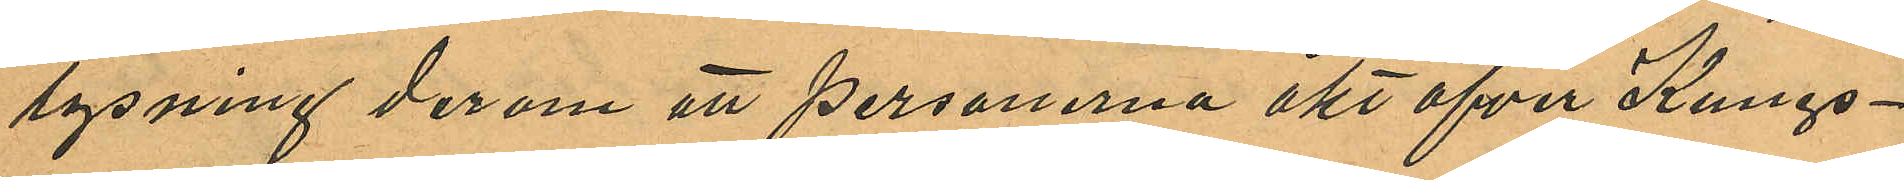lysning derom att personerna åkt öfver Kungs¬
